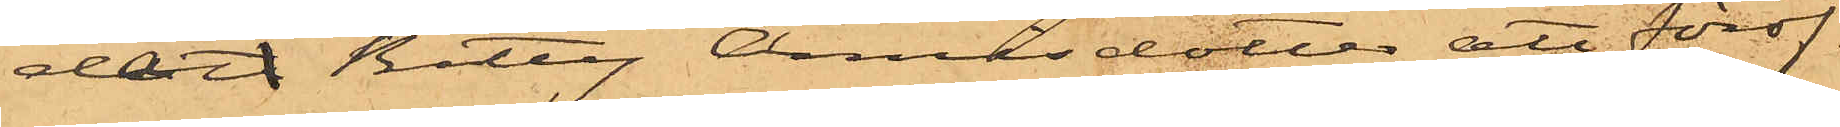dat Betty Annisdotter att föröf¬
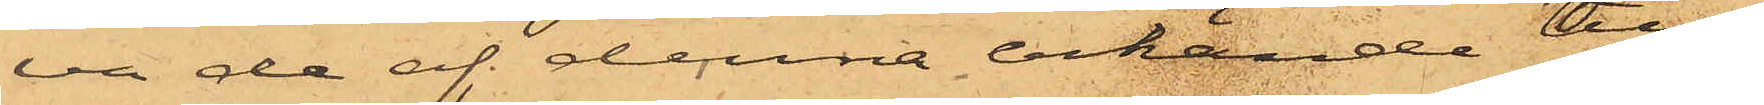va de af denna erkände till¬
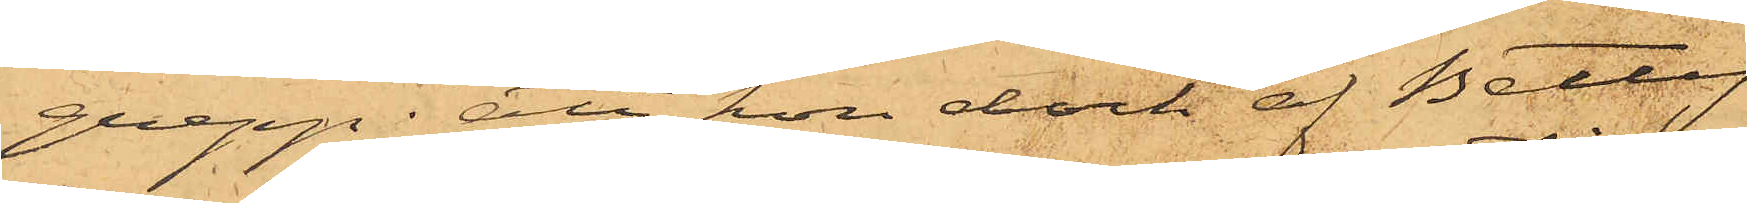grepp; att hon dock af Betty
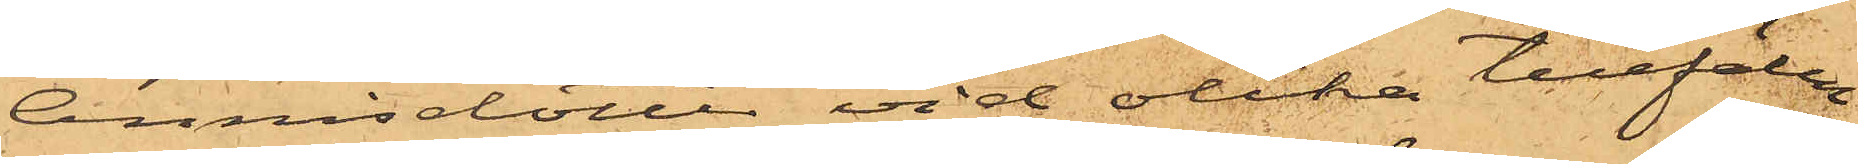Annisdotter vid olika tillfällen
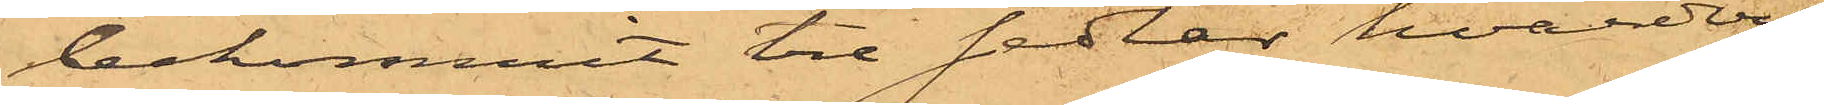bekommit tre sedlar hvardera
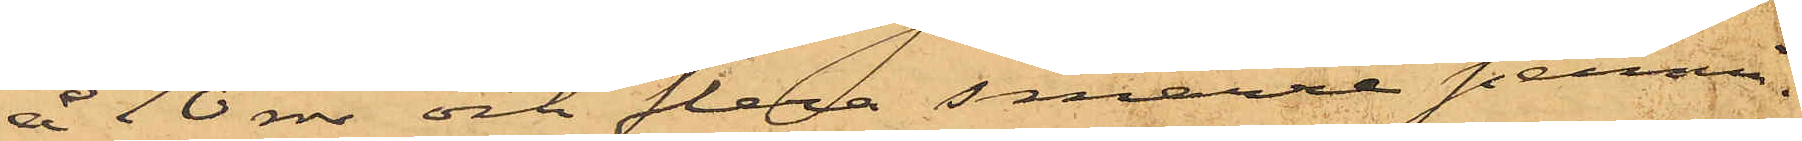å 10 rdr och flera smärre pennin¬
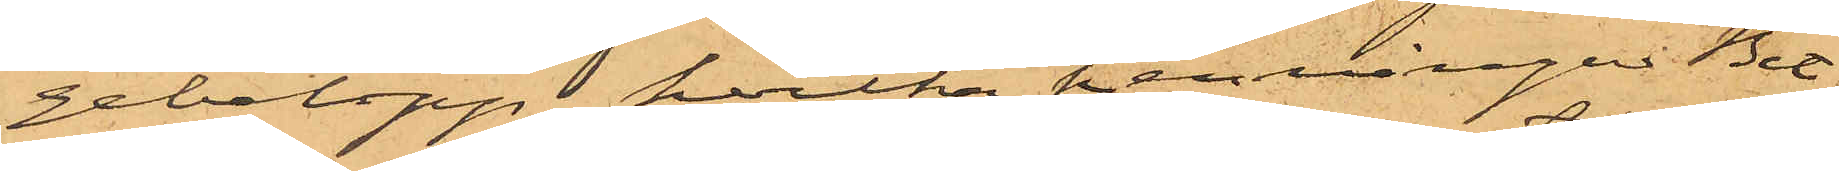gebelopp, hvilka penningar Bet¬
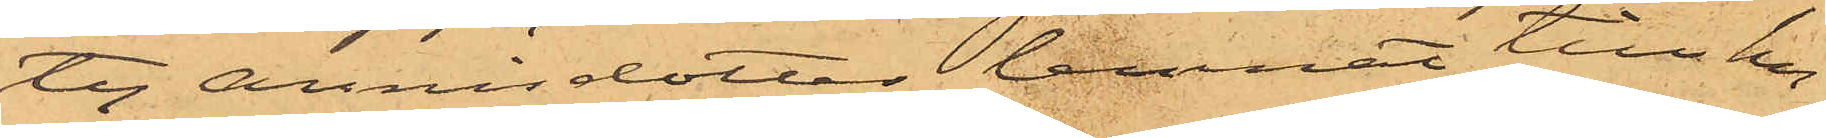ty Annisdotter lemnat till hu¬
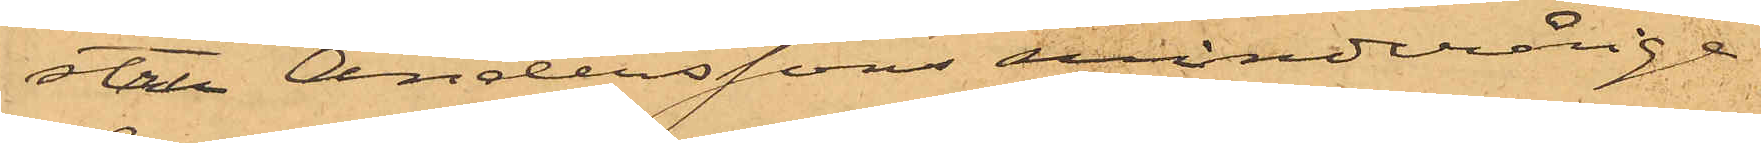stru Anderssons minderårige
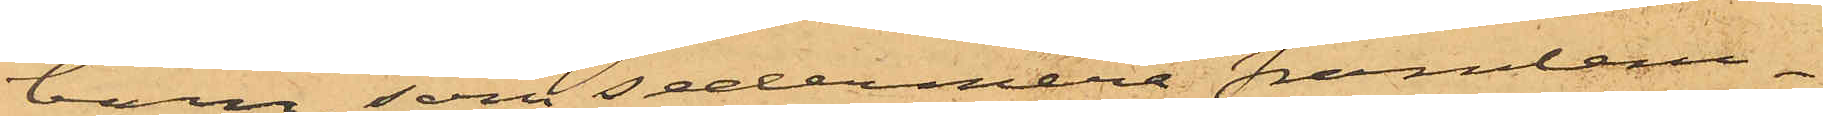barn, som sedermera framlem¬
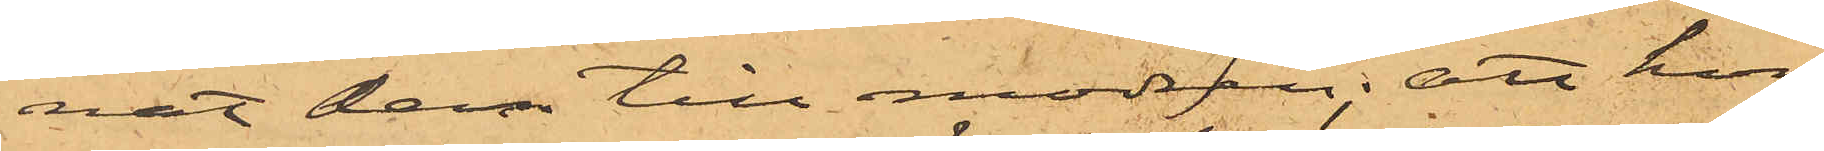nat dem till modren; att hon
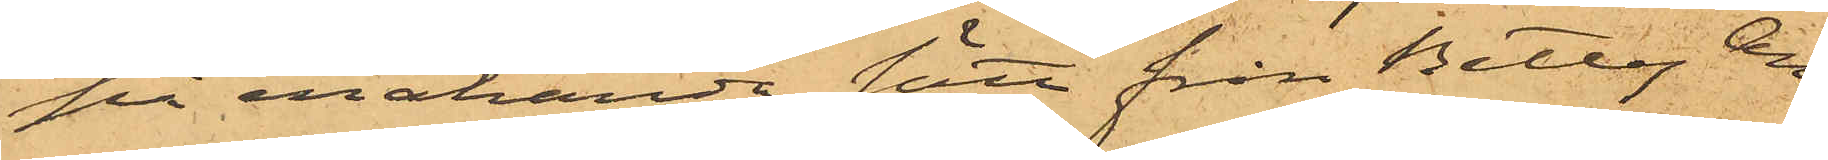på enahanda sätt från Betty An¬
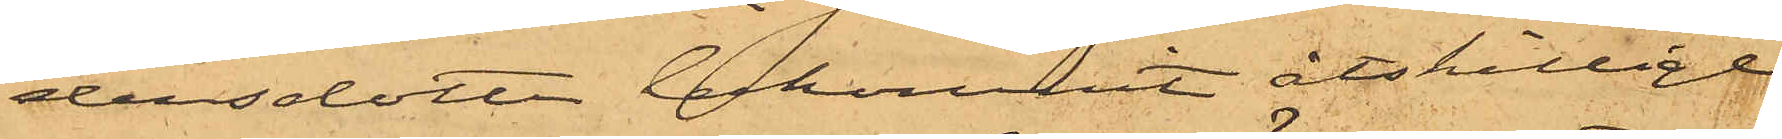dersdotter bekommit åtskillige
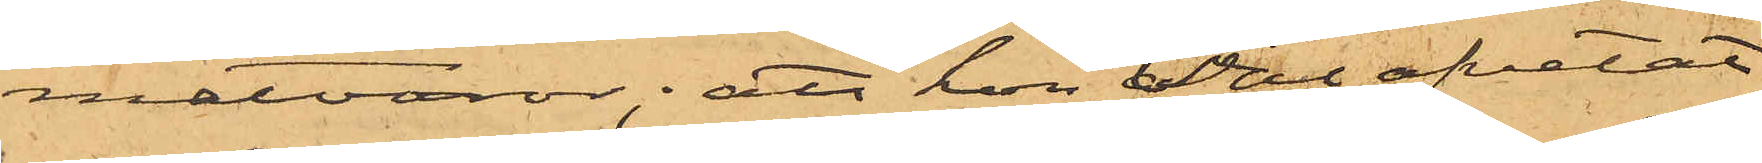matvaror; att hon väl afvetat
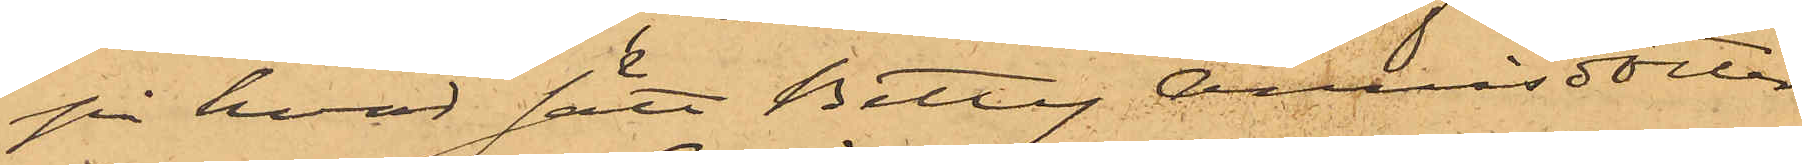på hvad sätt Betty Annisdotter
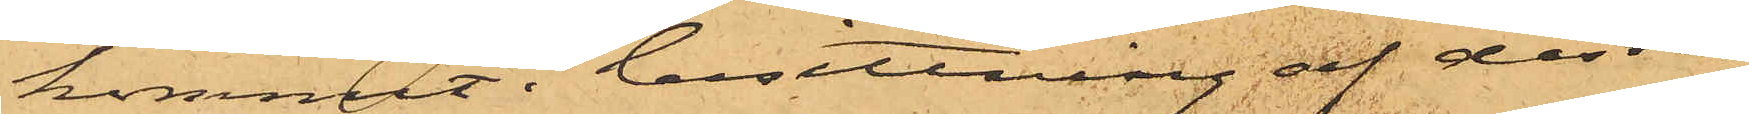kommit i besittning af dessa
